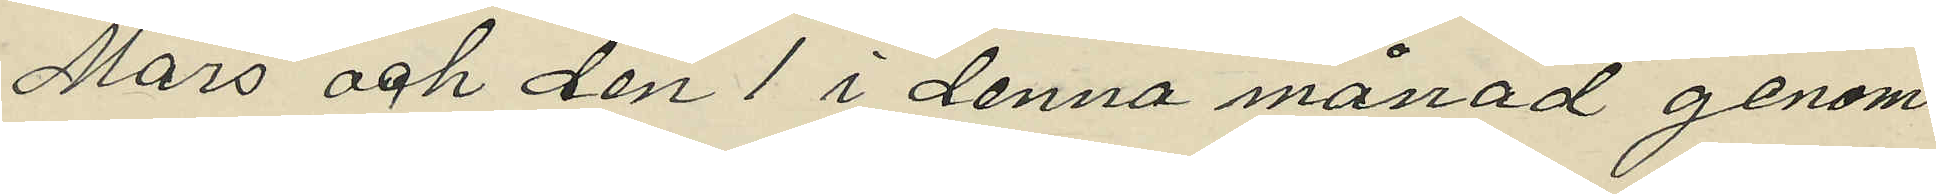Mars och den 1 i denna månad genom
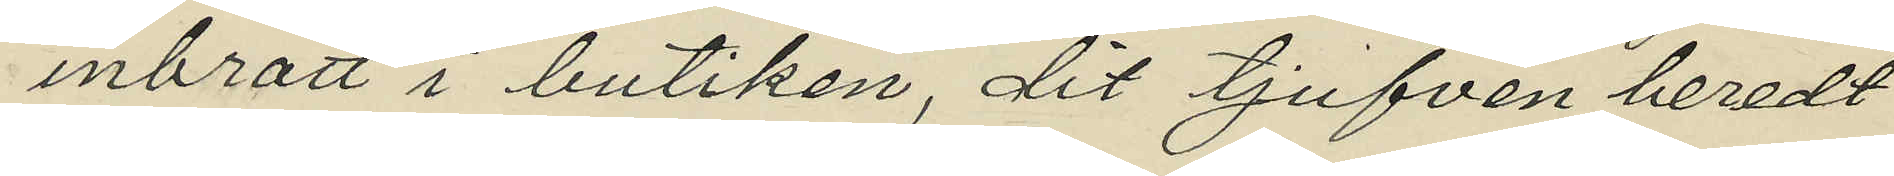inbrott i butiken, dit tjufven beredt
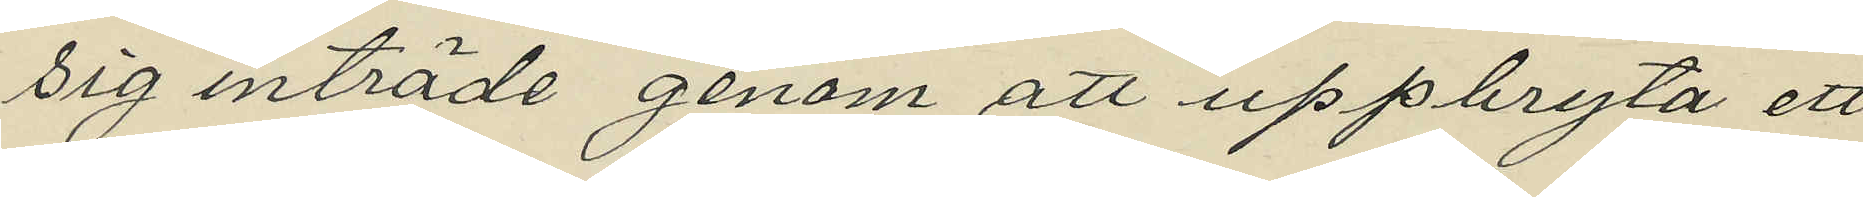sig inträde genom att uppbryta ett
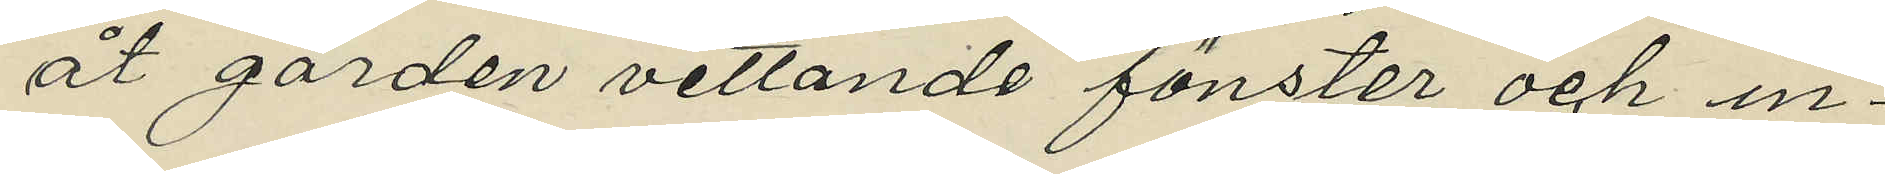åt gården vettande fönster och in¬
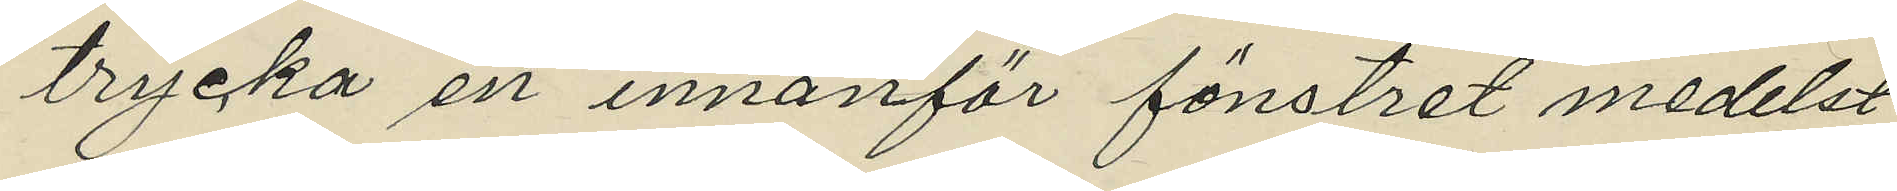trycka en innanför fönstret medelst
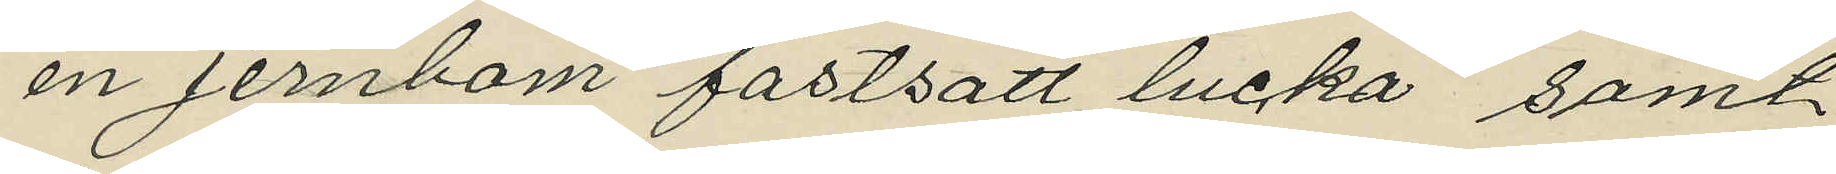en jernbom fastsatt lucka samt
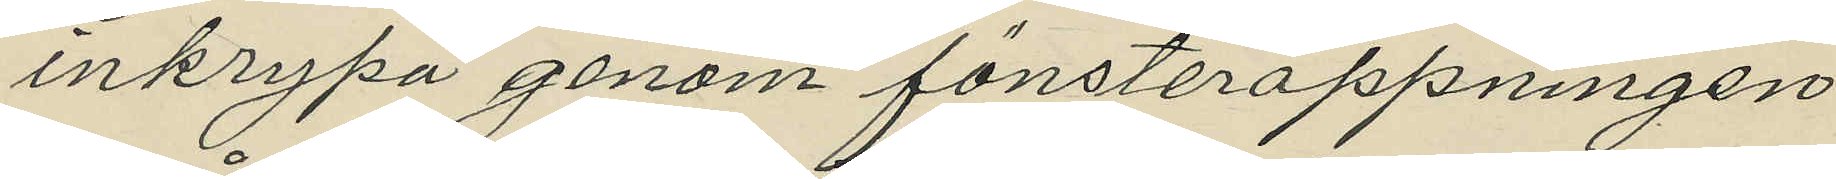inkrypa genom fönsteröppningen,
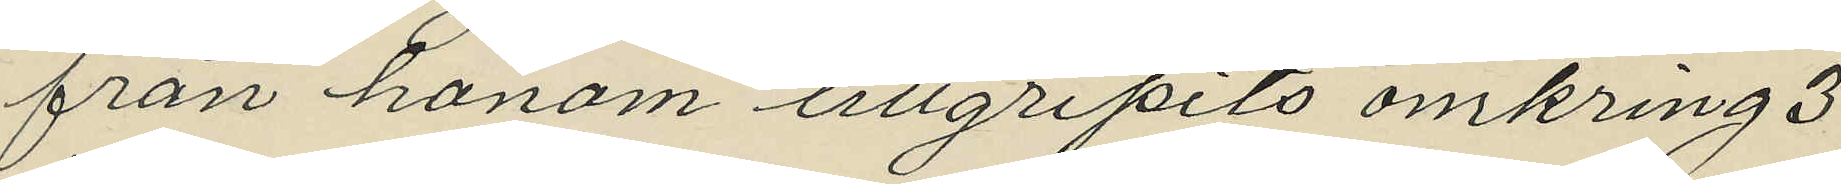från honom tillgripits omkring 3
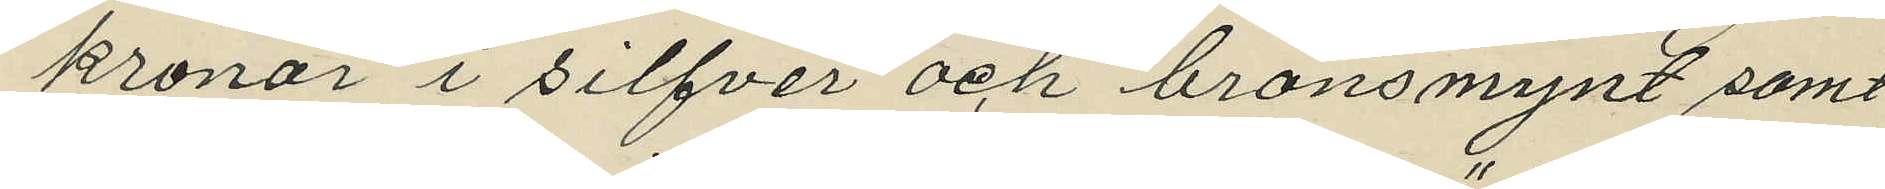kronor i silfver och bronsmynt samt
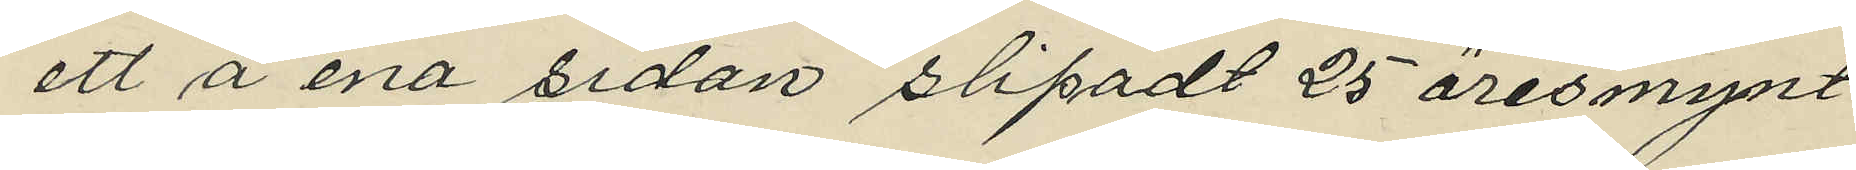ett å ena sidan slipadt 25 öresmynt
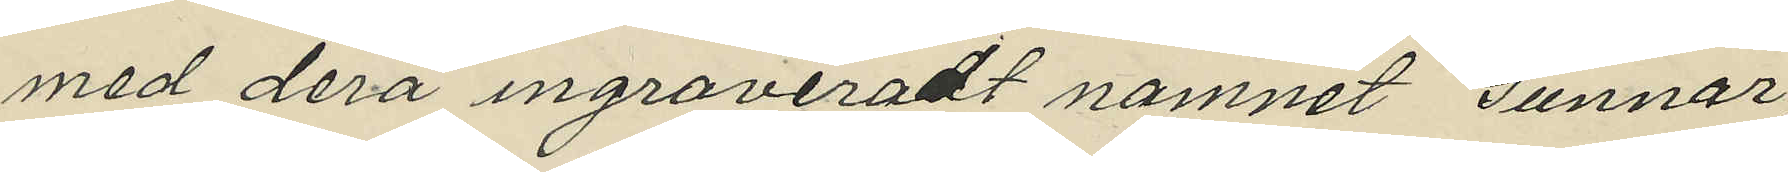med derå ingraveradt namnet "Gunnar";
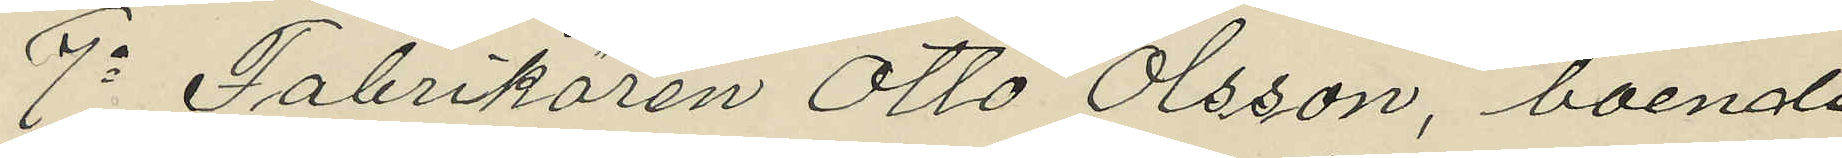7o Fabrikören Otto Olsson, boende
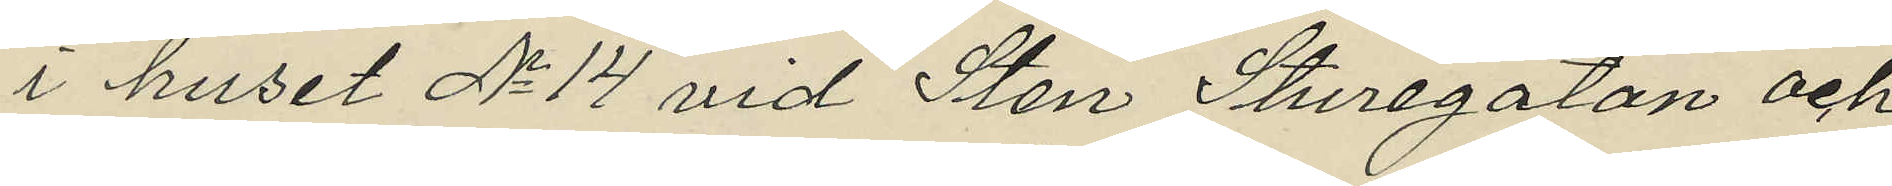i huset No 14 vid Sten Sturegatan och
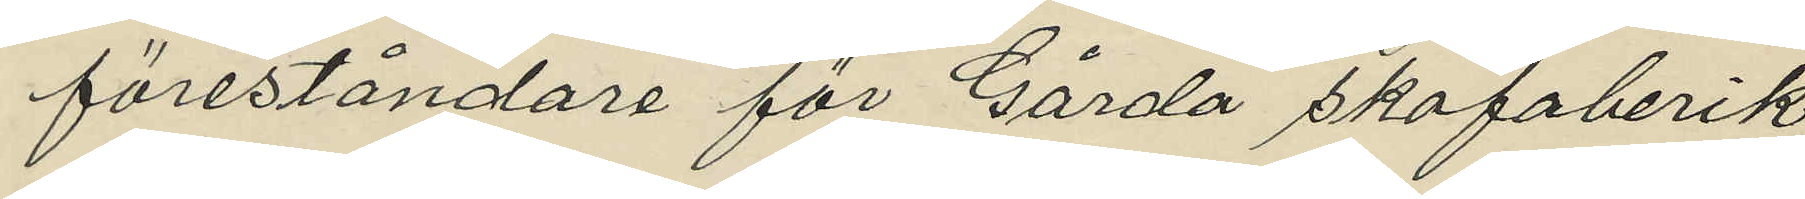föreståndare för Gårda skofabrik
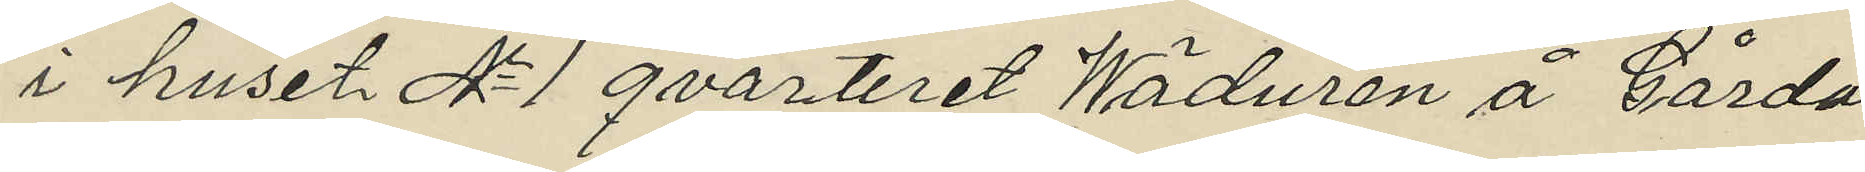i huset No 1 qvarteret Wäduren å Gårda
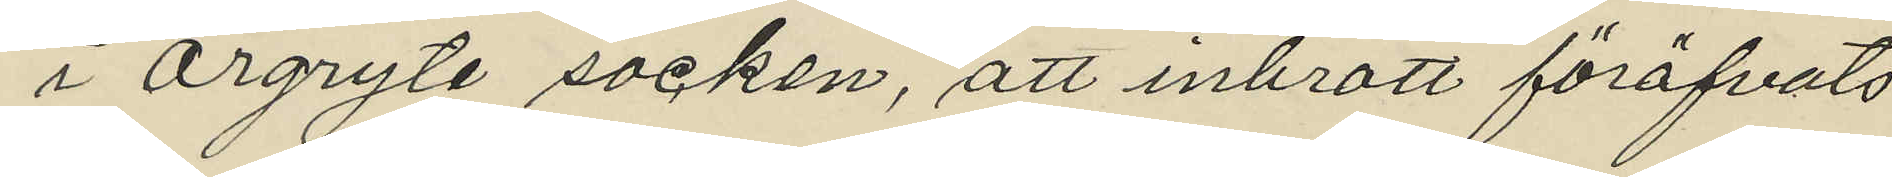i Örgryte socken, att inbrott föröfvats
